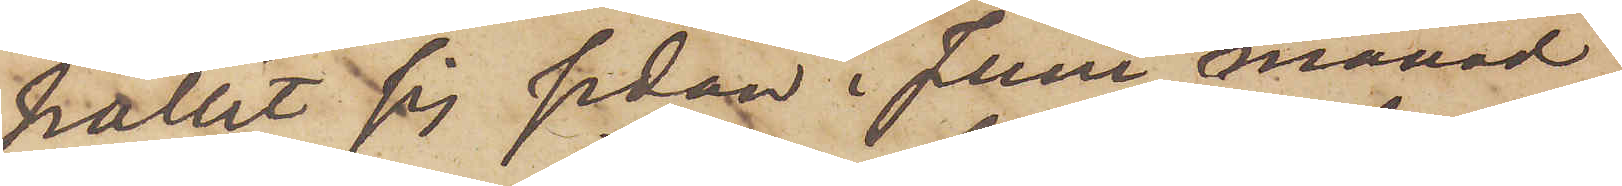hållit sig sedan i Juni månad
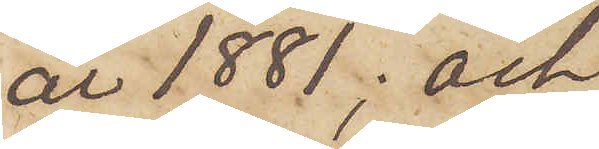år 1881; och
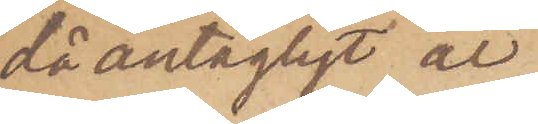då antagligt är
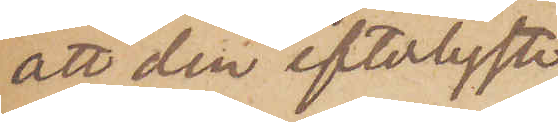att den efterlyste
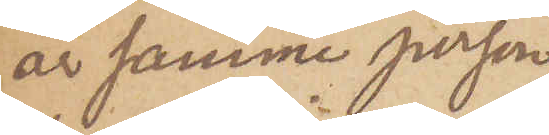är samme person
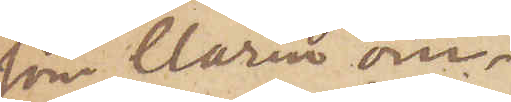som Clarin om¬
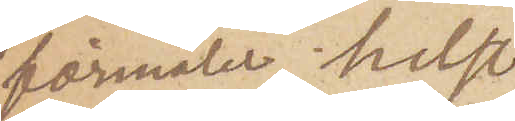förmäler, helst
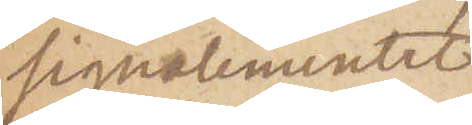signalementet
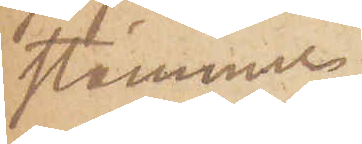stämmer
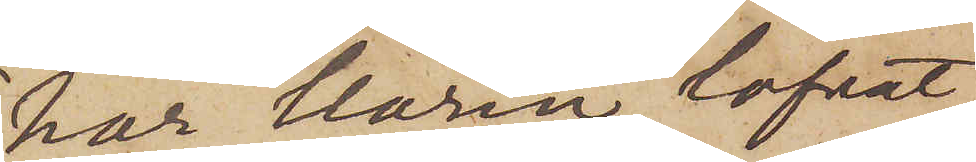har Clarin lofvat
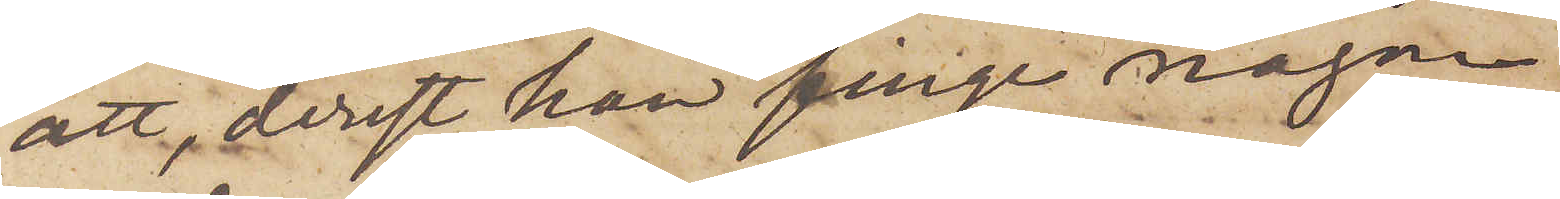att, derest han finge någon
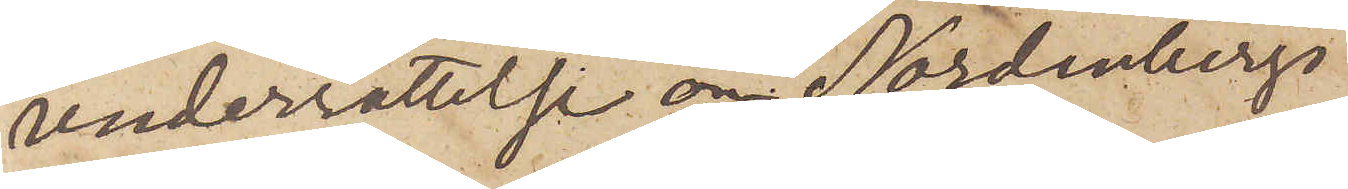underrättelse om Nordenbergs
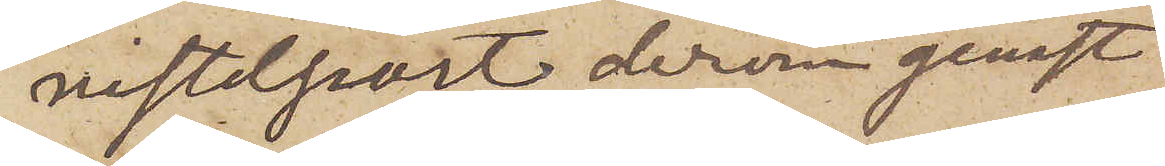vistelseort derom genast
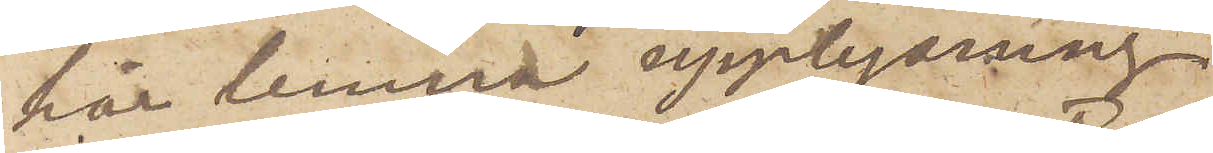här lemna upplysning.
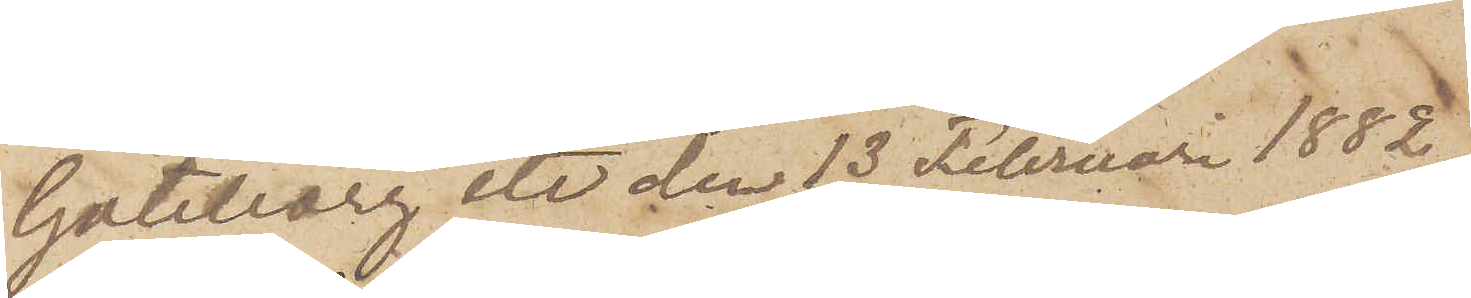Göteborg etc den 13 Februari 1882.
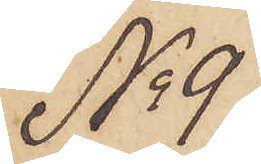No 9
